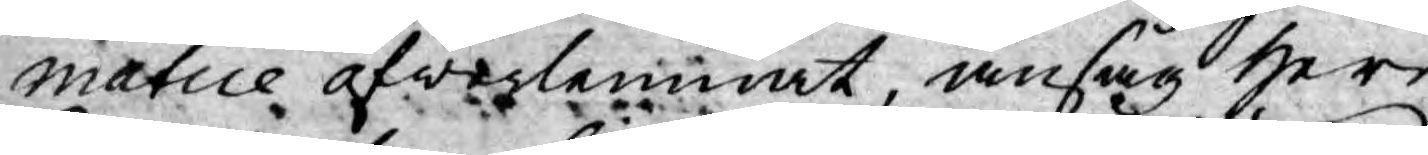matice öfwerlemnat, ansåg Herr
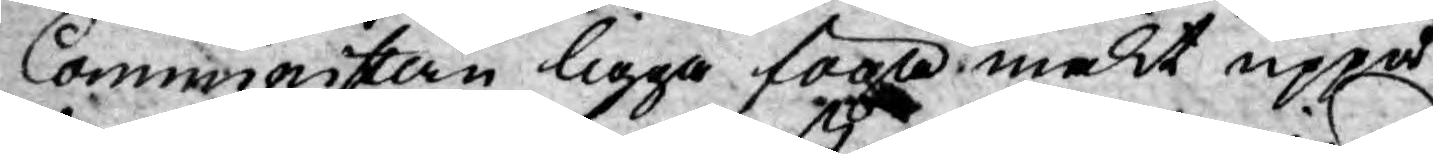Comministern ligga föga makt uppå
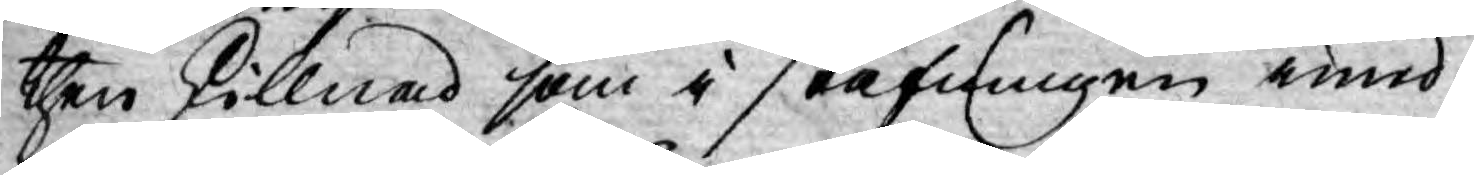then skillnad som i stafningen imid-
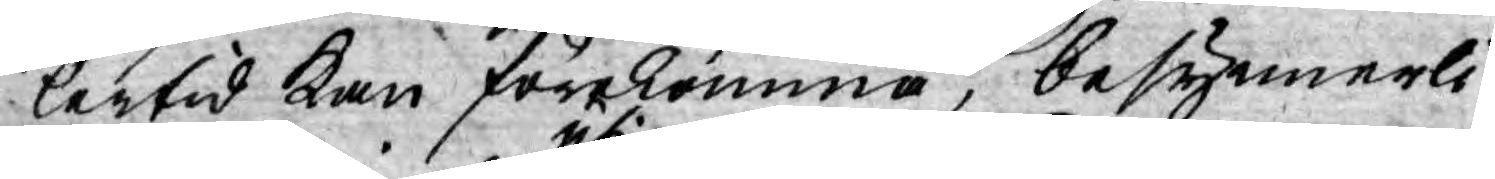lertid kan förekomma, besynnerli¬
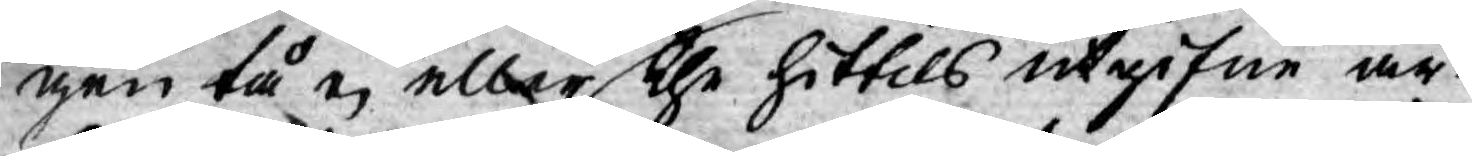gen tå ej eller uti the hittils utgifne ar¬
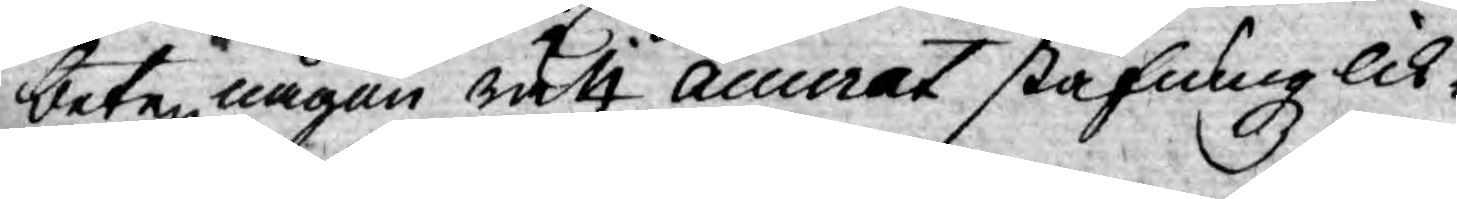beten någon rätt accurat stafningz lik¬
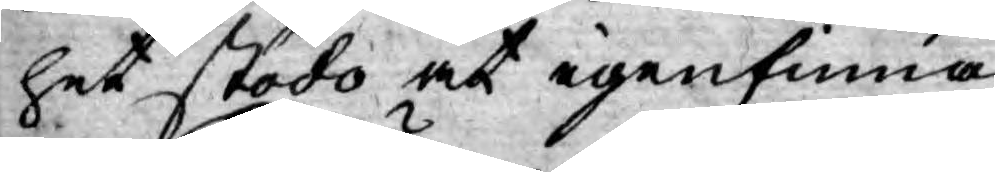het stodo at igenfinna.
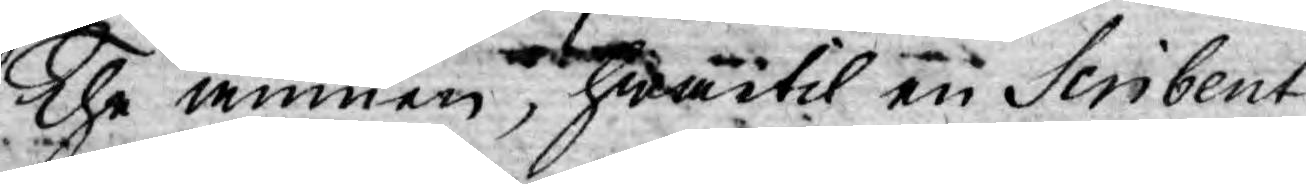The ämnen, hwartil en Scribent
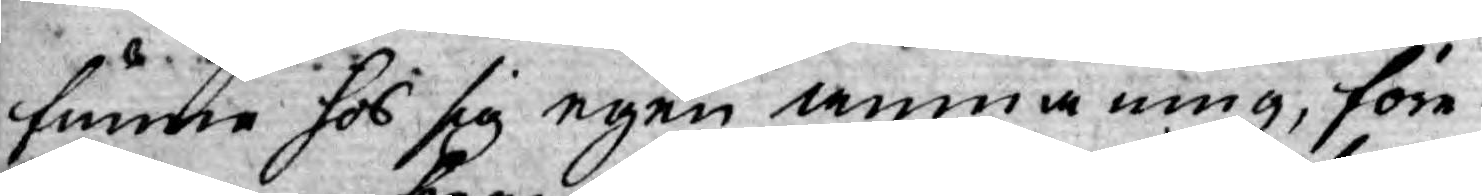funne hos sig egen anmaning, före¬
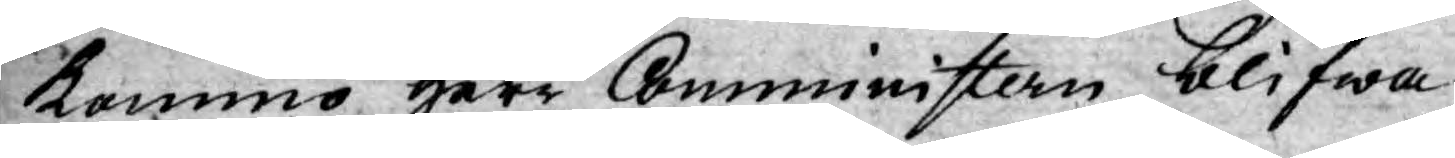kommo Herr Comministern blifwa
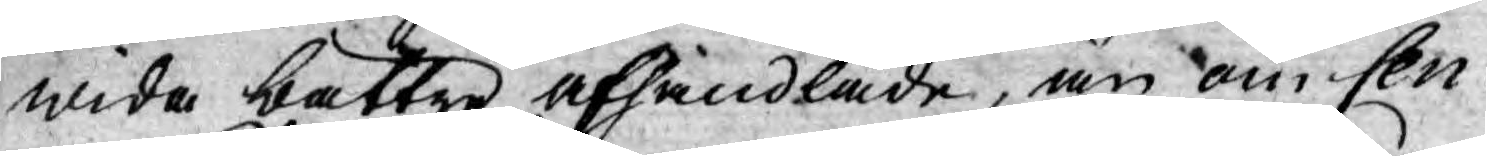wida bättre afhandlade, än om Cen¬
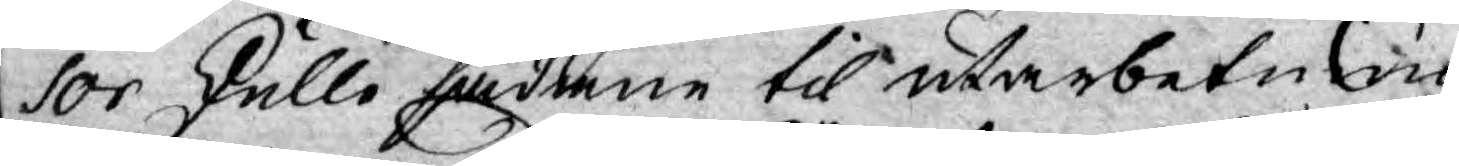sor skulle sådane til utarbetning
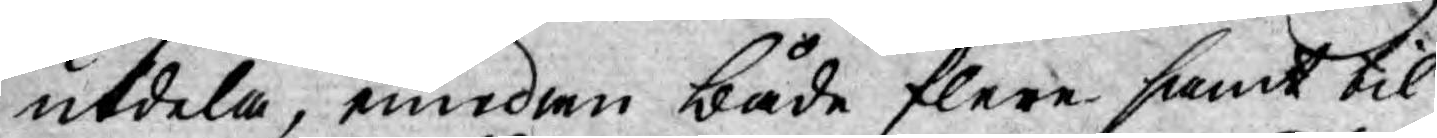utdela, emedan både flere samt til
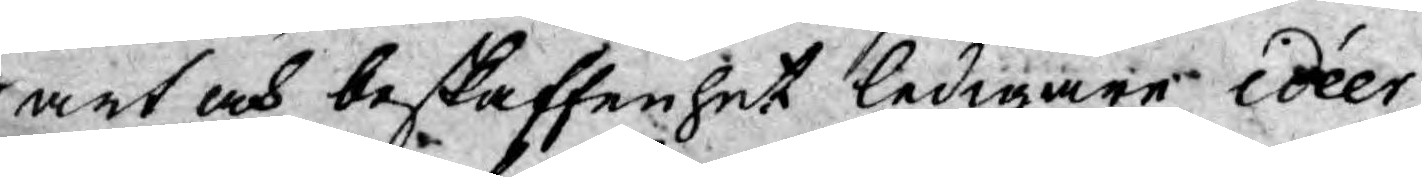art och beskaffenhet ledigare idéer
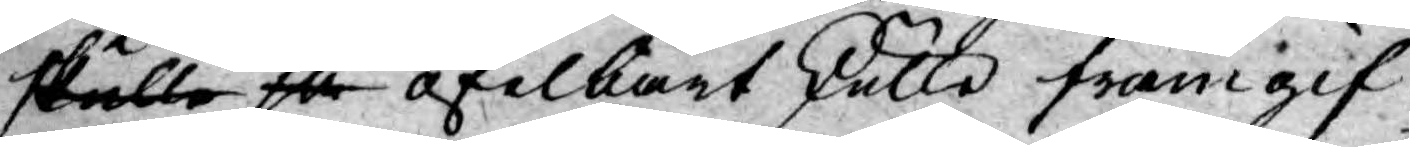skulle så ofelbart skulle framgif¬
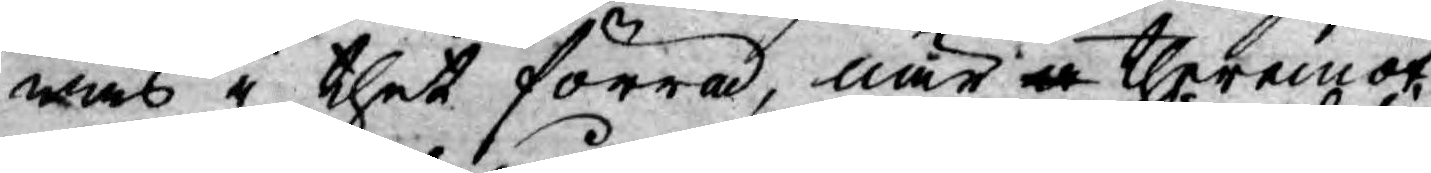was i thet förra, när a theremot
